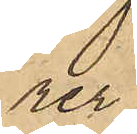rer,
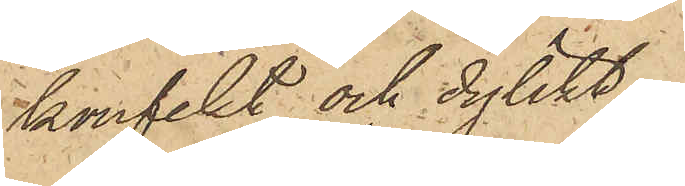konfekt och dylikt.
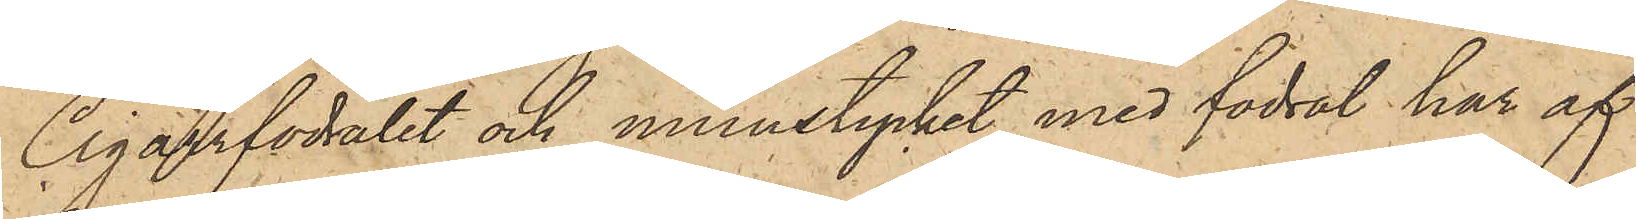Cigarrfodralet och munstycket med fodral har af
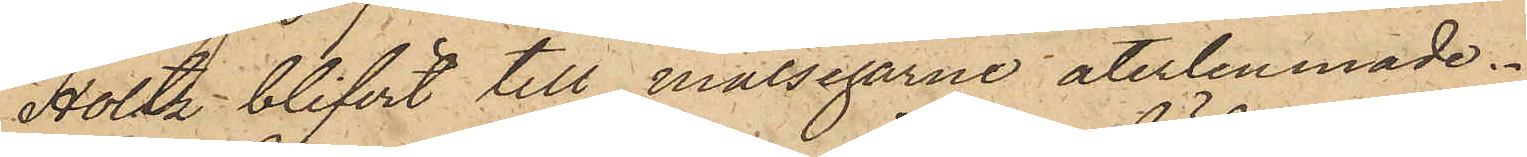Holtz blifvit till målsegarne återlemnade.
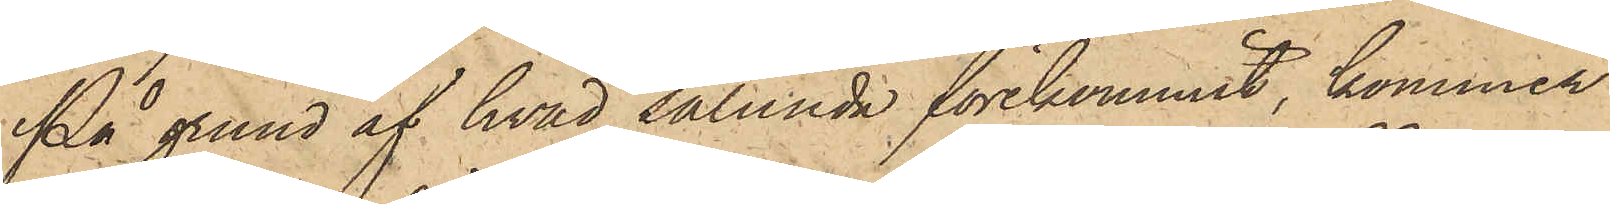På grund af hvad sålunda förekommit, kommer
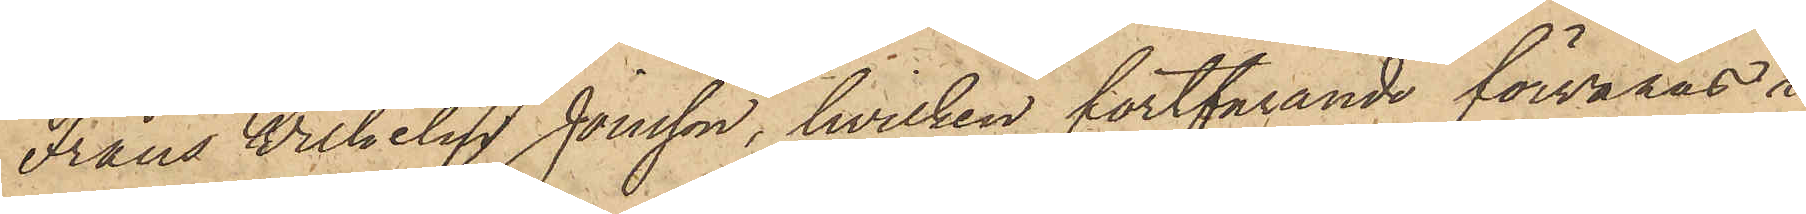Frans Wilhelm Jonsson, hvilken fortfarande förvaras i
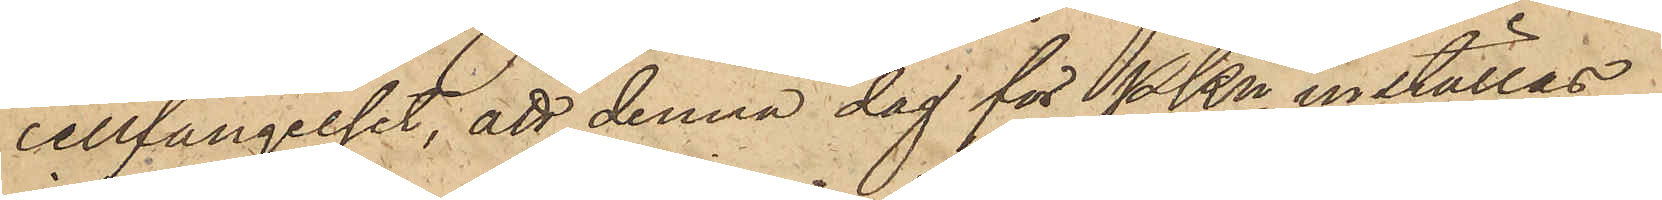cellfängelset, att denna dag för PKn inställas.
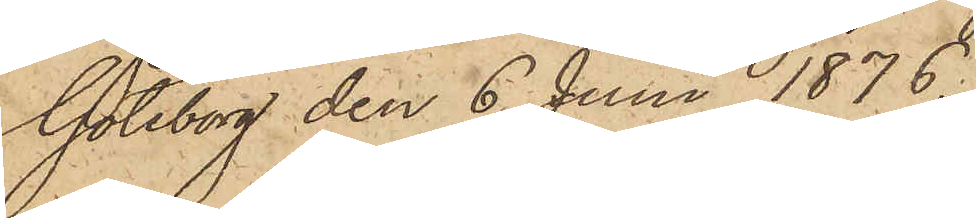Göteborg den 6 Juni 1876.
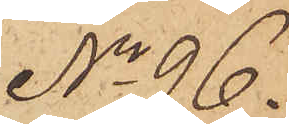No 96.
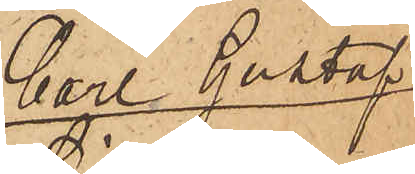Carl Gustaf
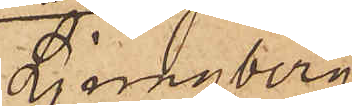Ljungberg
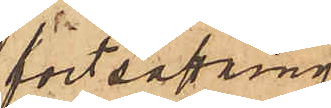fortsättning
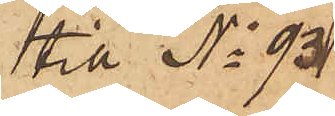till No 93
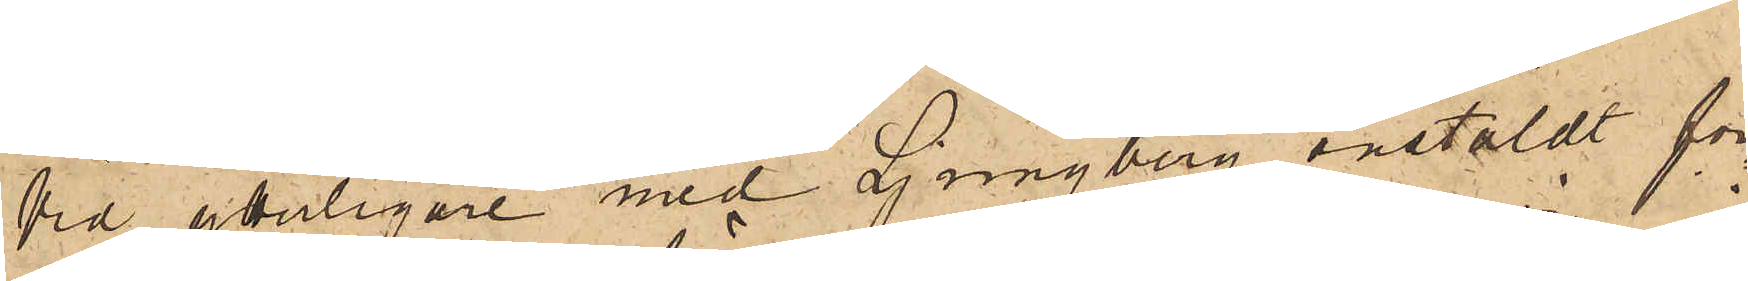Vid ytterligare med Ljungberg anstäldt för¬
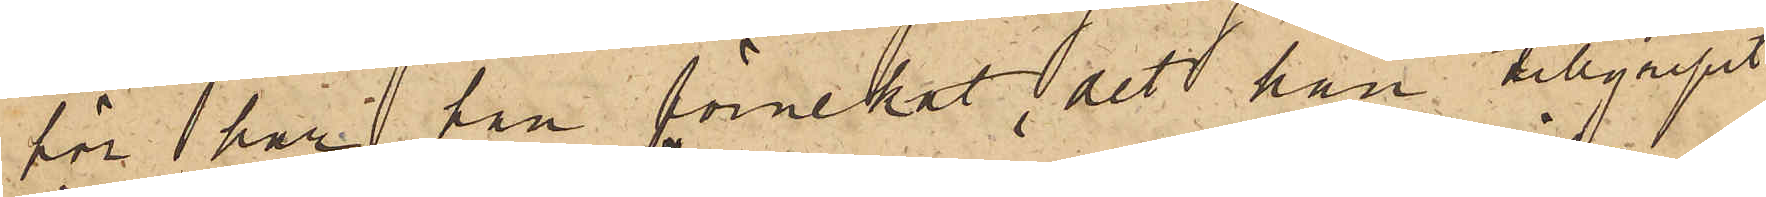för har han förnekat, det han tillgripit
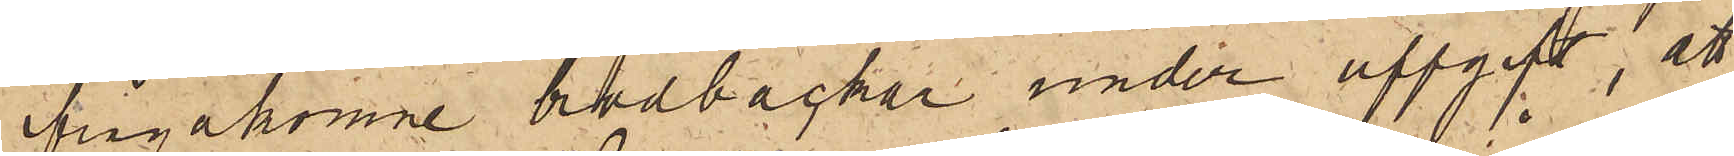frågakomne brödbackar under uppgift, att
